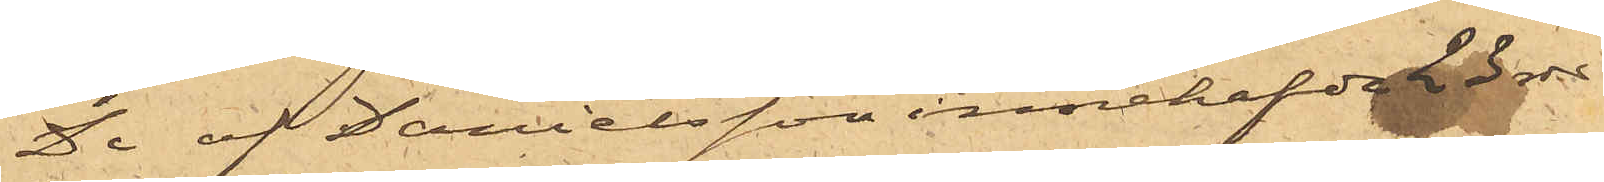De af Danielsson innehafde 23 rdr
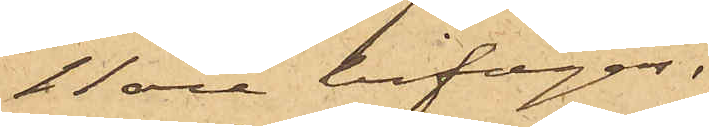11 öre bifogas.
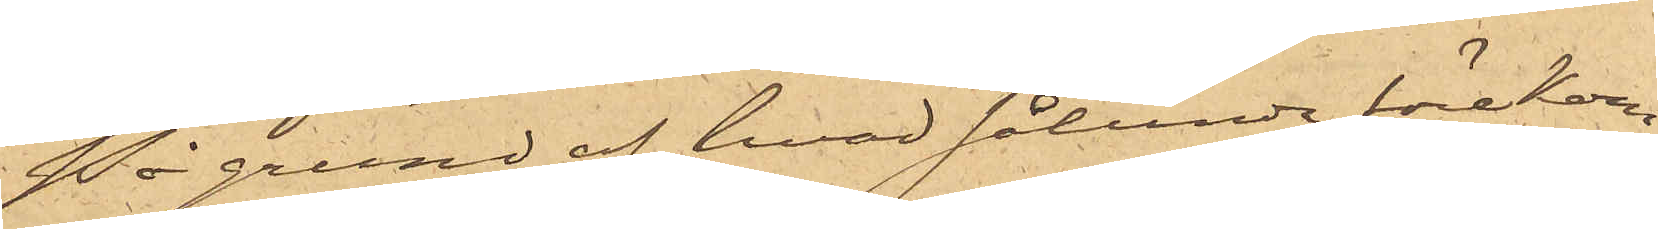På grund af hvad sålunda förekom¬
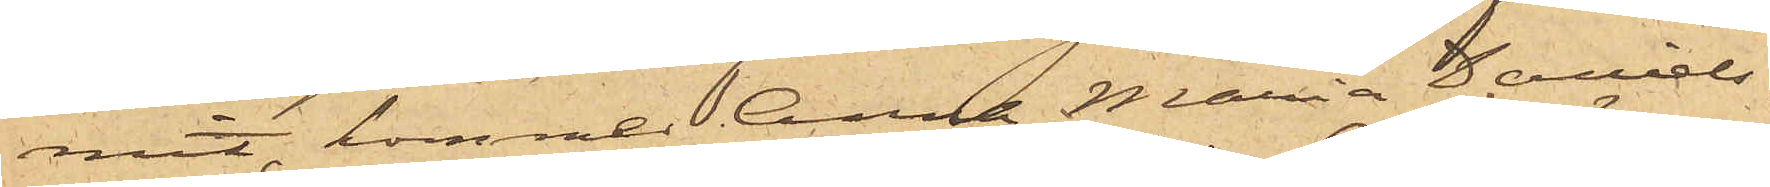mit, kommer Anna Maria Daniels¬
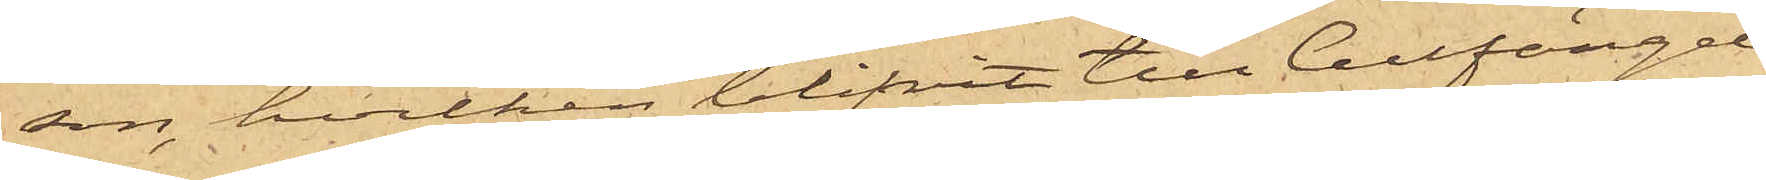son, hvilken blifvit till Cellfängel¬
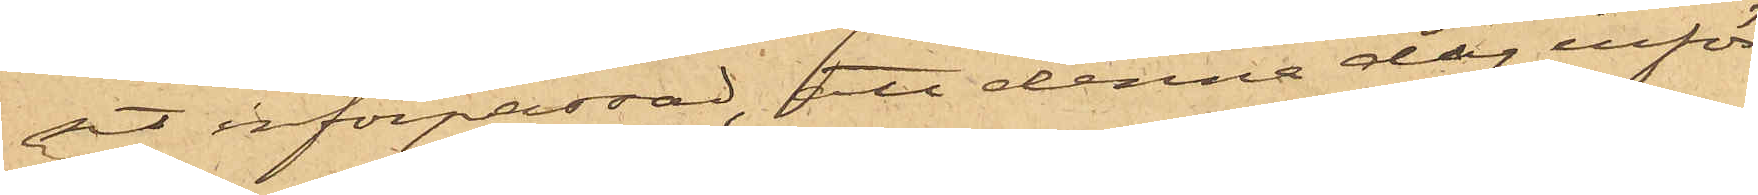set införpassad, att denna dag inför
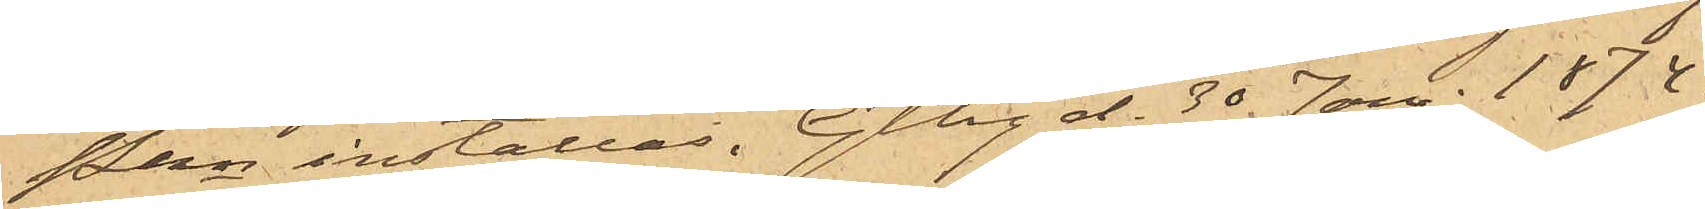Pkn inställas. Gtbg d. 30 Jan. 1874.
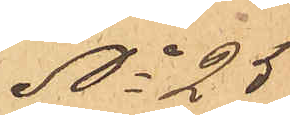No 25
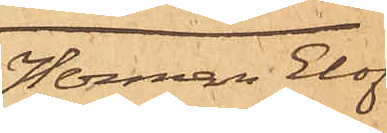Herman Elof
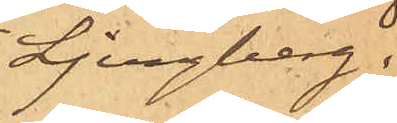Ljungberg.
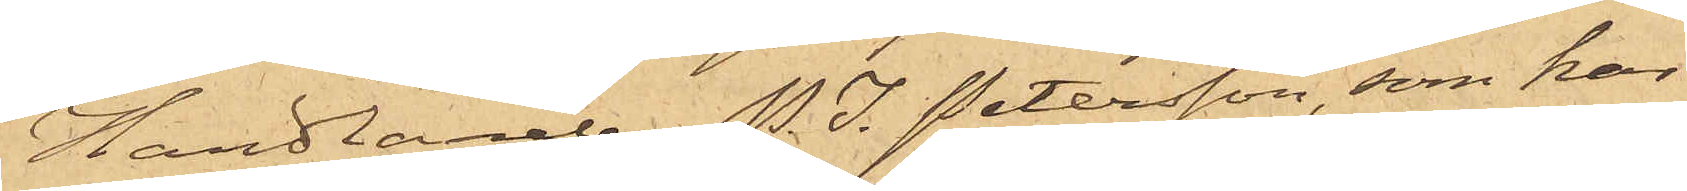Handlanden P. I. Petersson, som har
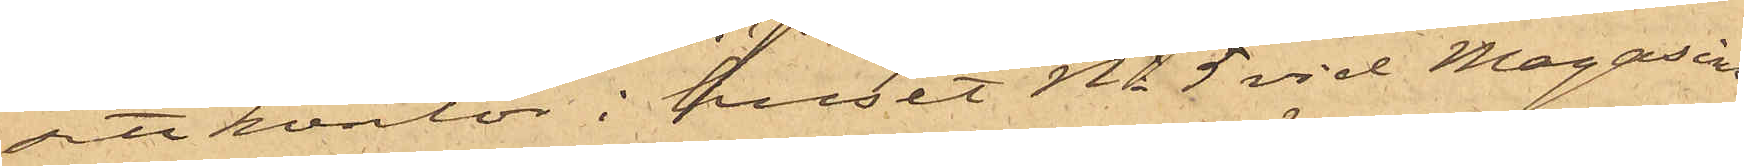sitt kontor i huset No 5 vid Magasins¬
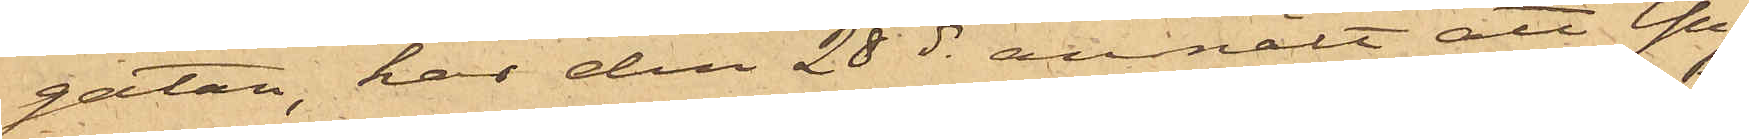gatan, har den 28 ds anmält att Yng¬
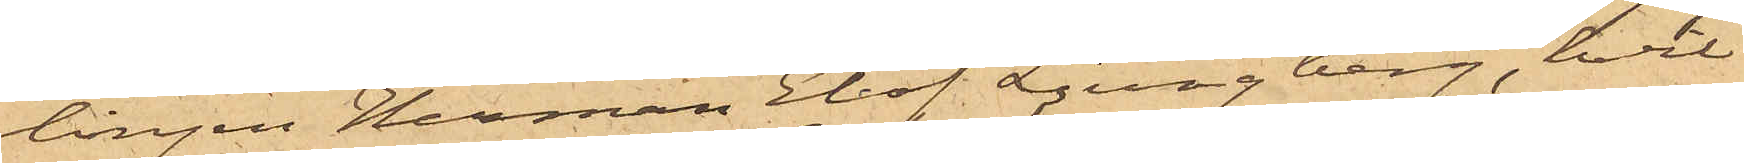lingen Herman Elof Ljungberg, hvil¬
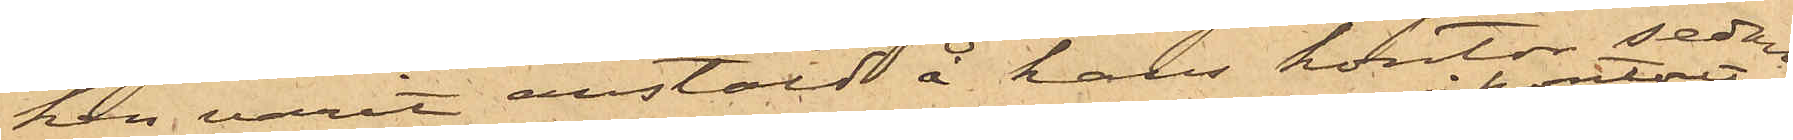han varit anstäld å hans kontor sedan
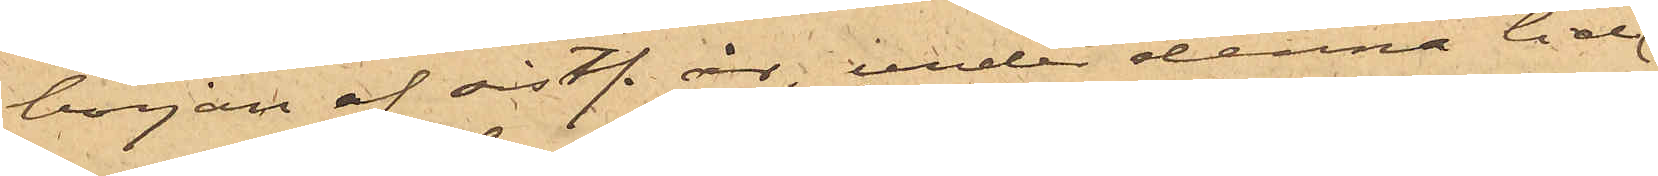början af sistl. år, under denna tid
